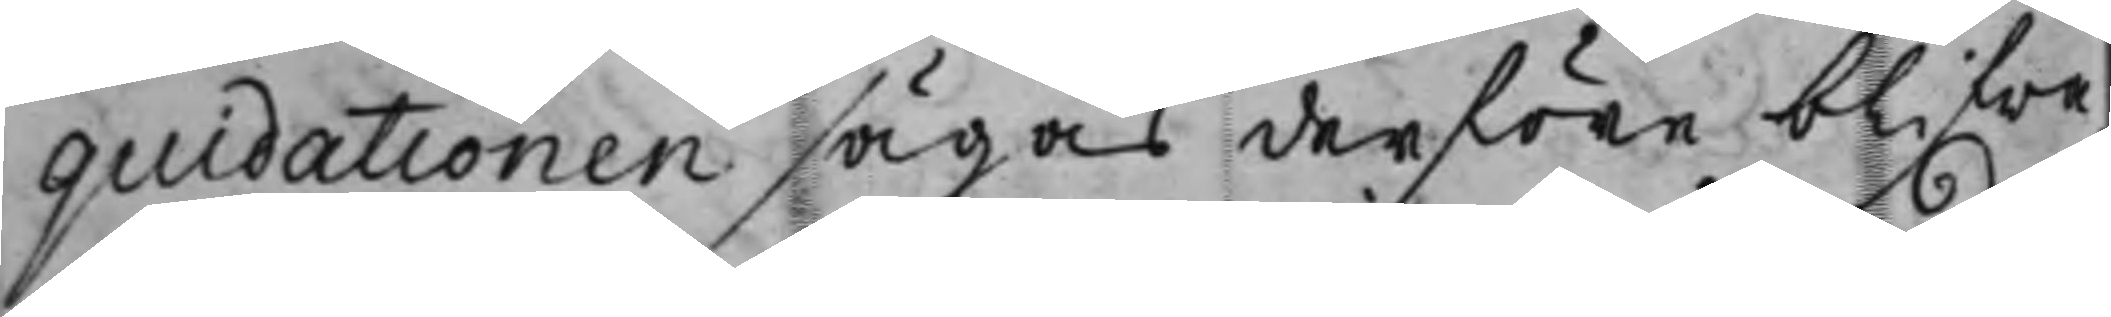quidationen sägas derföre blifwa
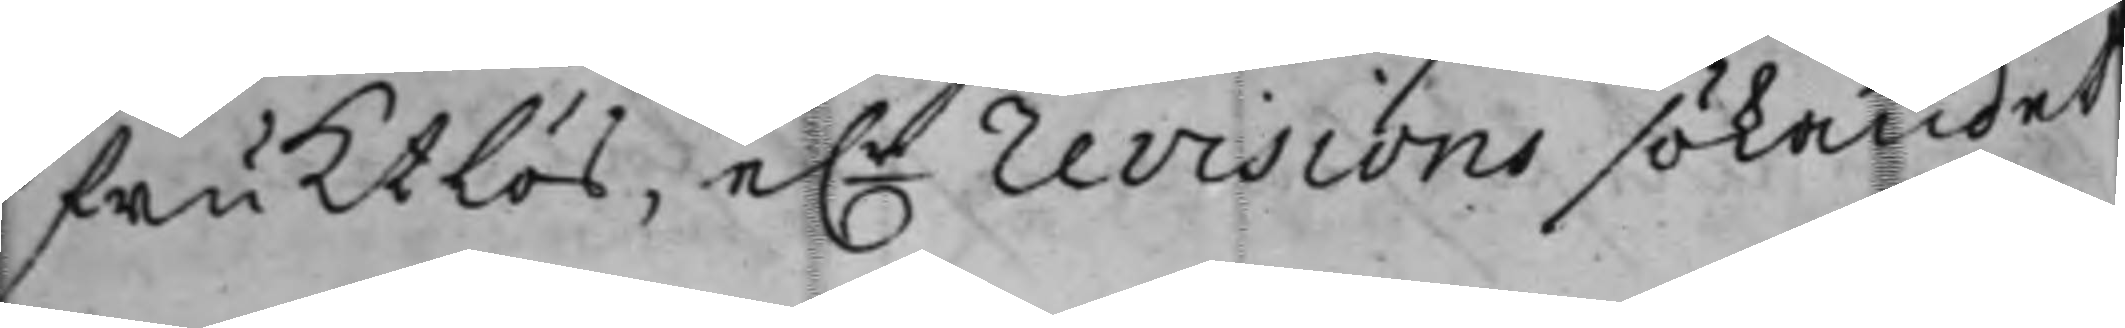fruktlös, e.r revisions sökandet
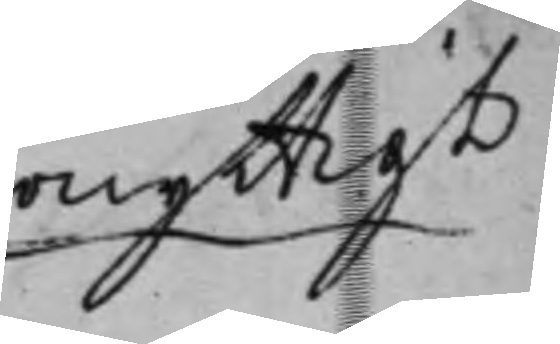onyttigt
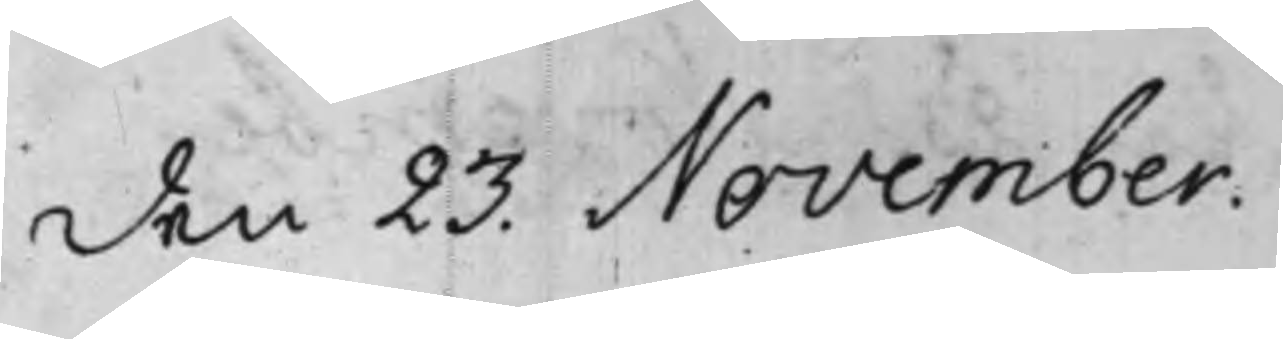den 23. November.
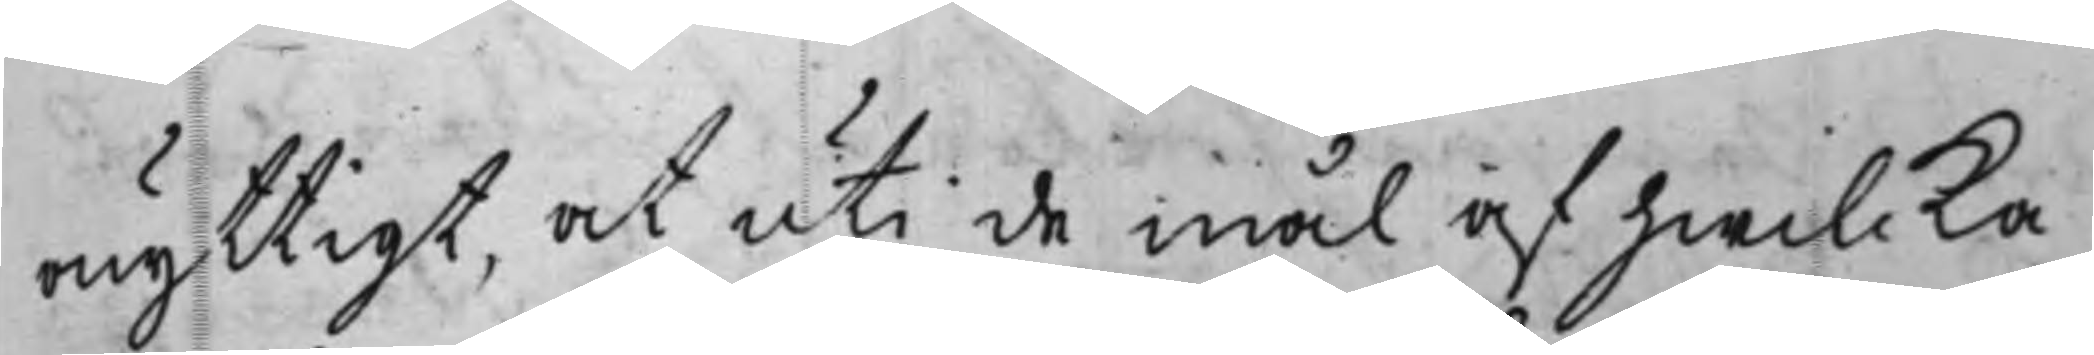onyttigt, at uti de mål af hwilcka
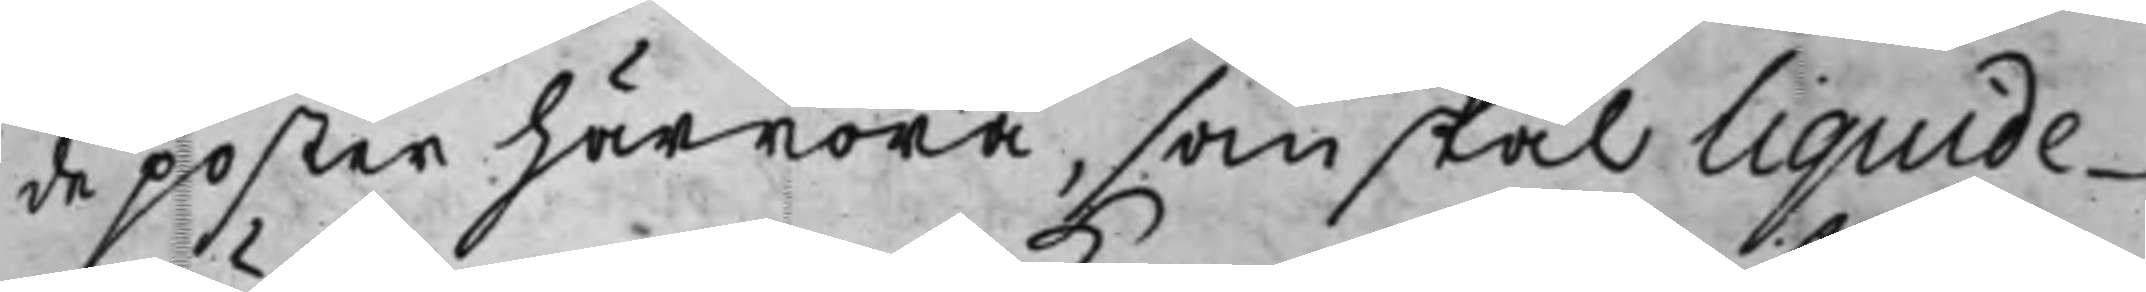de poster härröra, som skal liquide¬
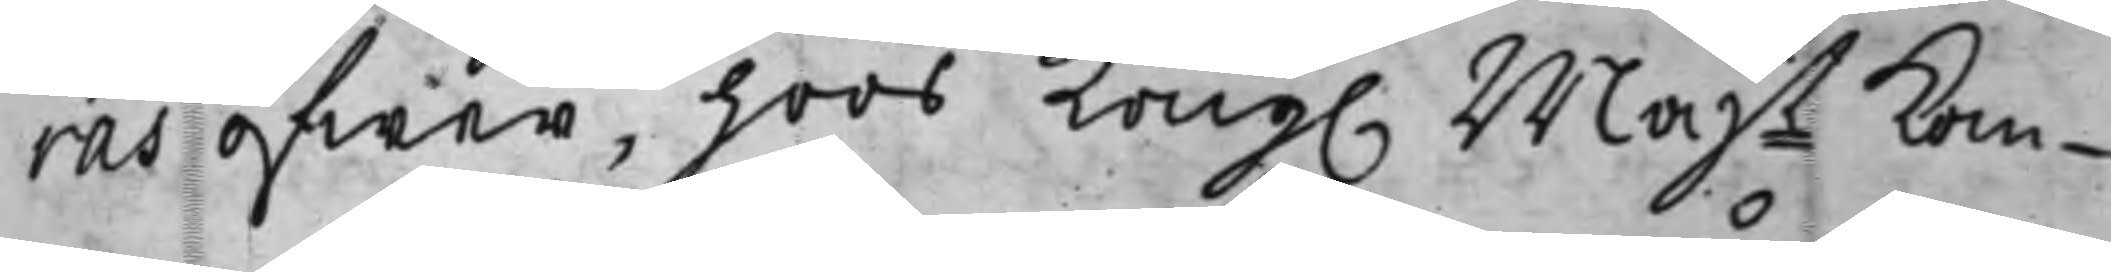ras öfwer, hoos Kong. Majt kom¬
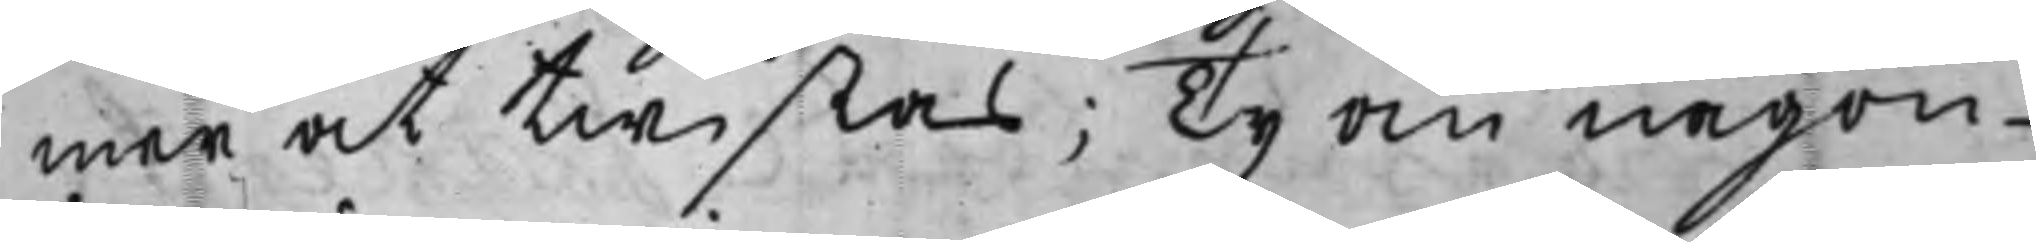mer at twistas; Ty om någon
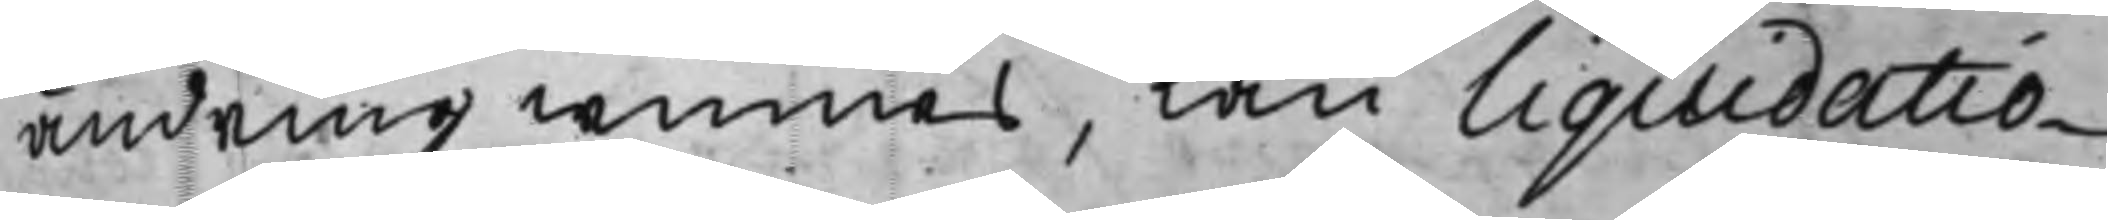ändring winnes, kan liquidatio¬
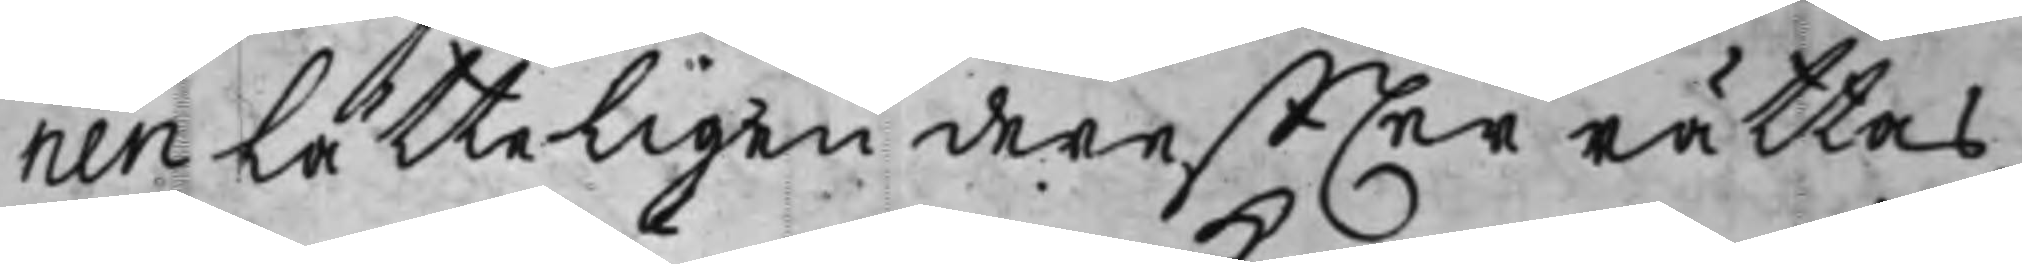nen lätteligen dereffter rättas,
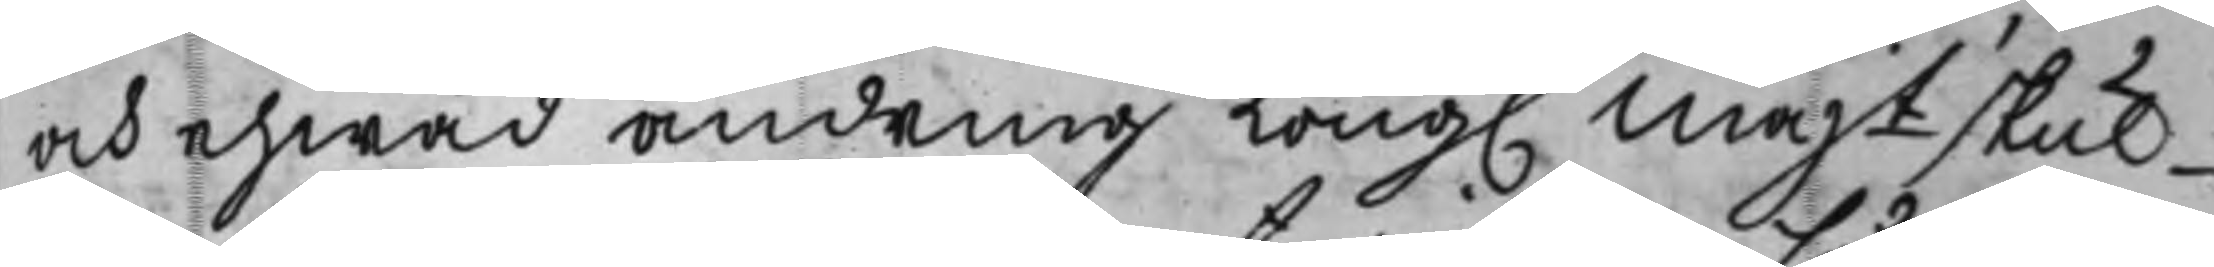och ehwad ändring Kong. Majt skul¬
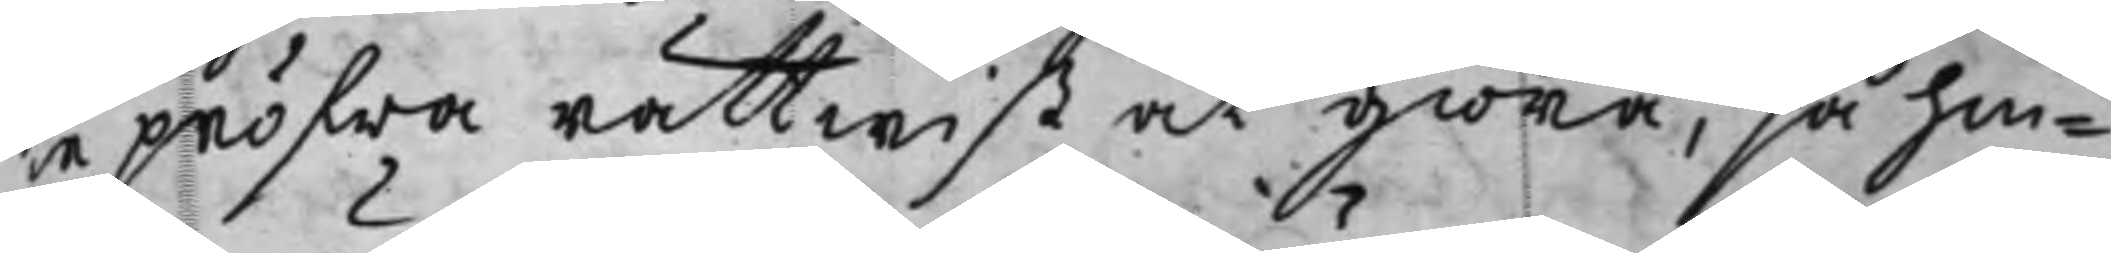le pröfwa rättwist at giöra, så hin¬
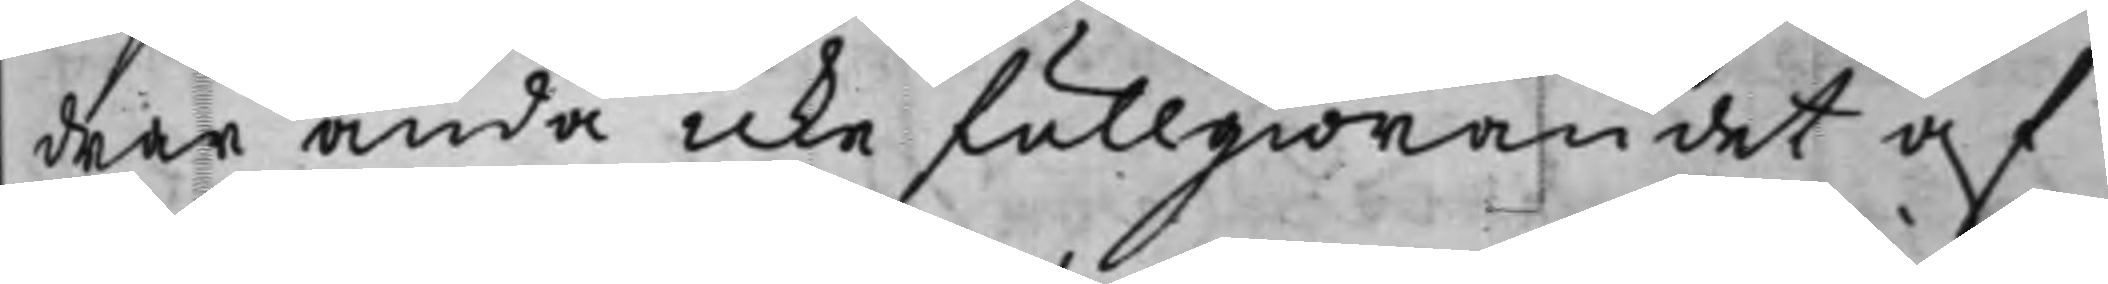drar ändå icke fullgiörandet af
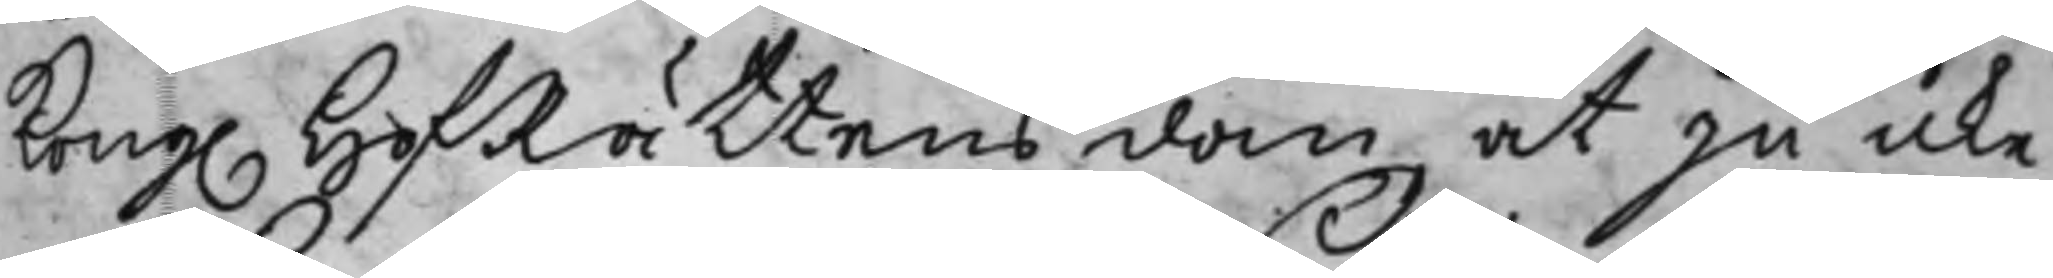Kong. HofRättens dom, at ju icke
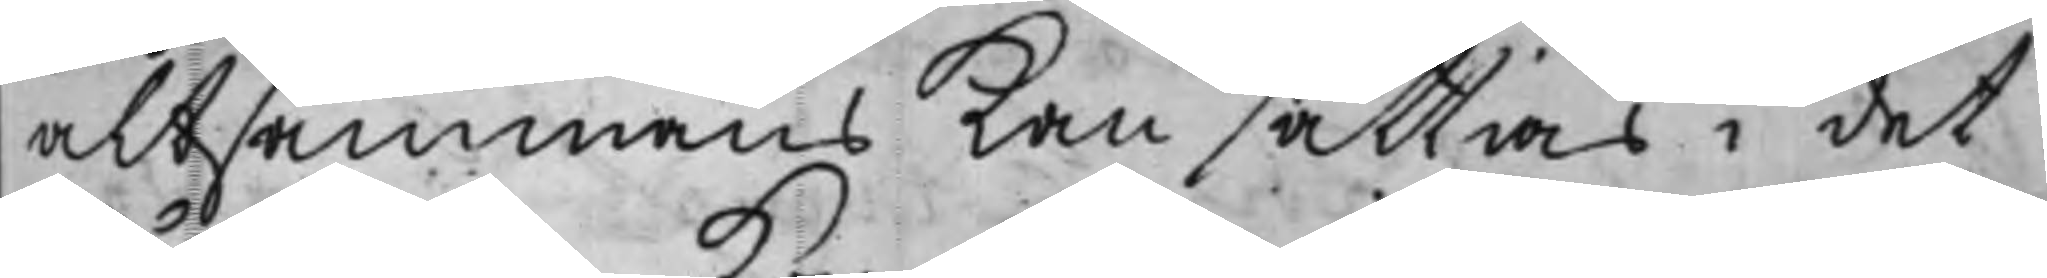altsammans kan sättias i det
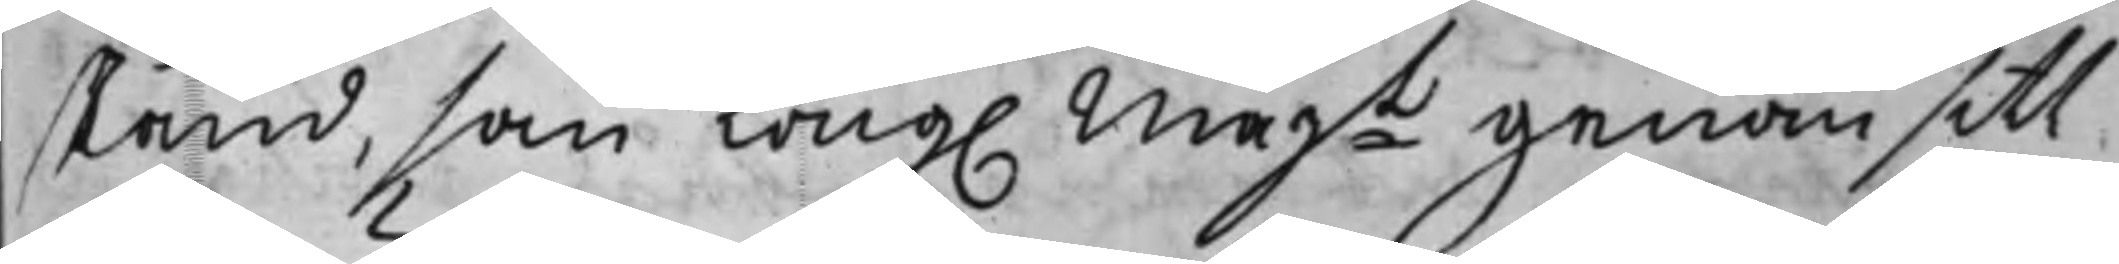stånd, som Kong. Majt genom sitt
